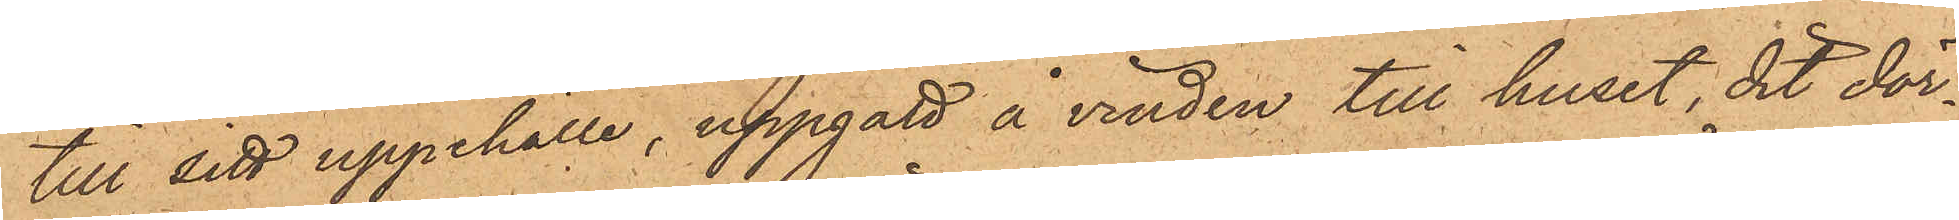till sitt uppehälle, uppgått å vinden till huset dit dör¬
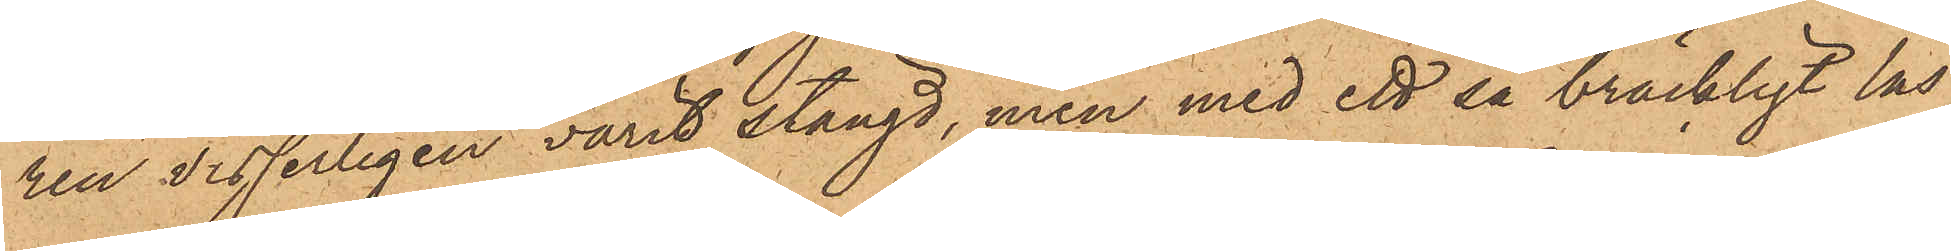ren visserligen varit stängd, men med ett så bräckligt lås,
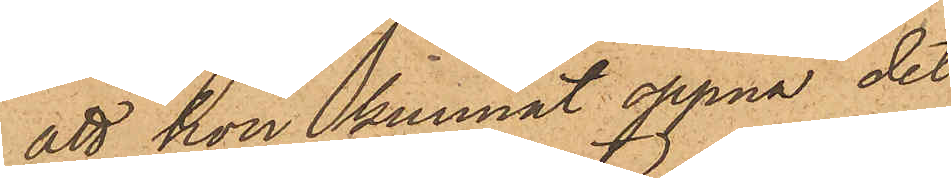att hon kunnat öppna det
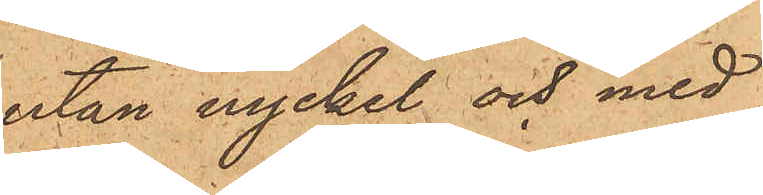utan nyckel och med
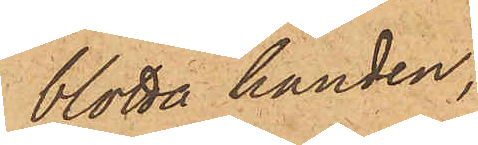blotta handen,
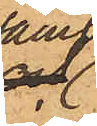samt
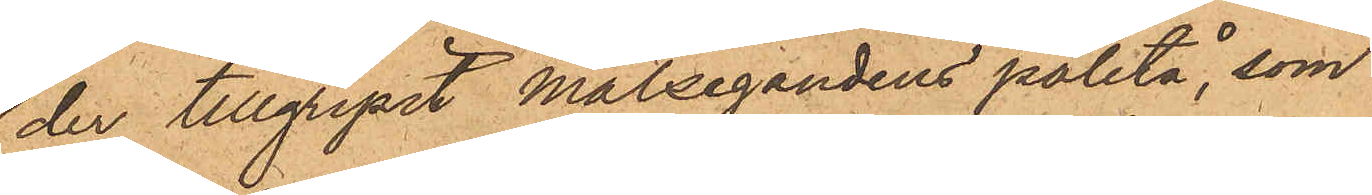der tillgripit målsegandens paletå, som
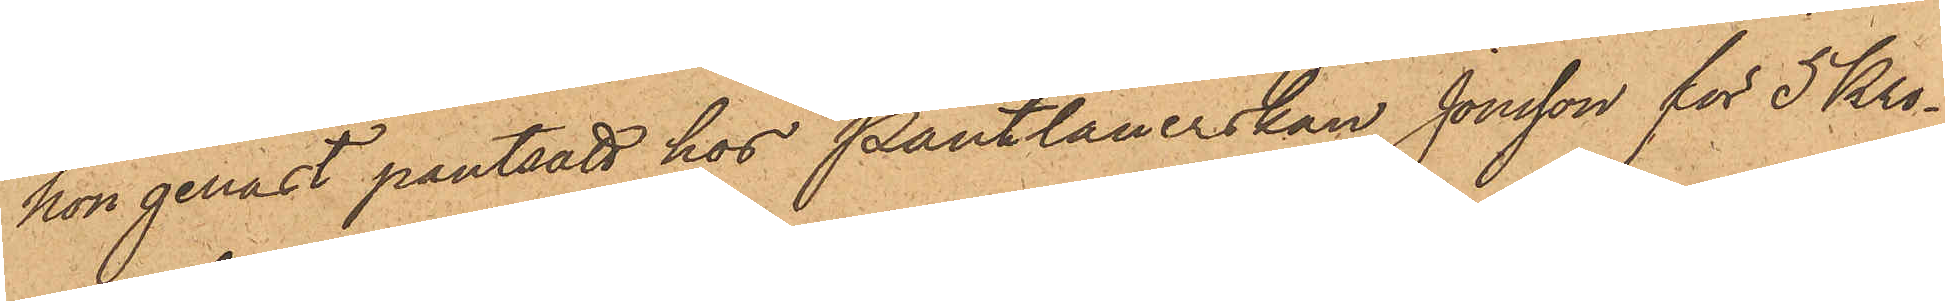hon genast pantsatt hos Pantlånerskan Jonsson för 5 Kro¬
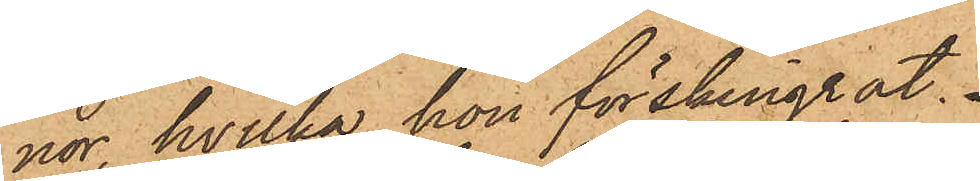nor, hvilka hon förskingrat.
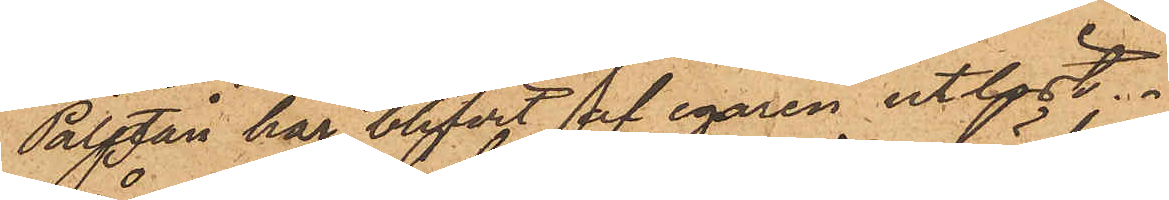Paletån har blifvit af egaren utlöst.
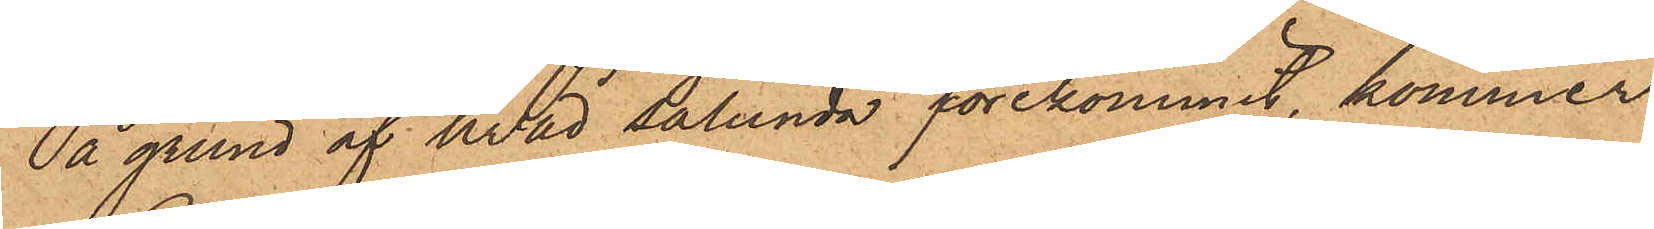På grund af hvad sålunda förekommit, kommer
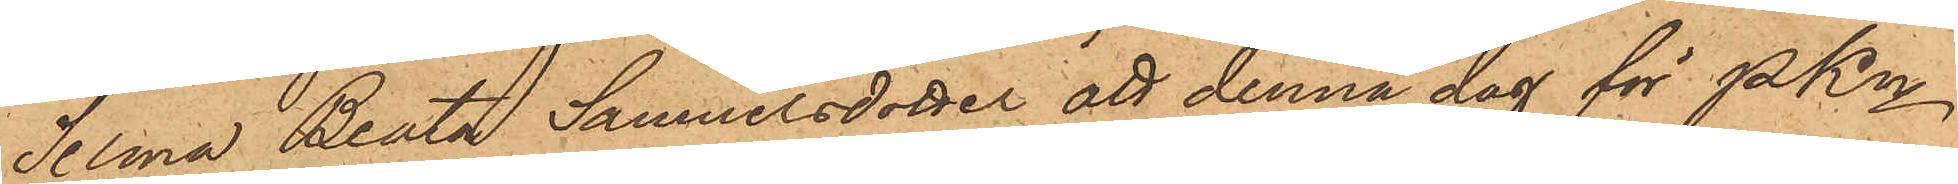Selma Beata Samuelsdotter att denna dag för PKn
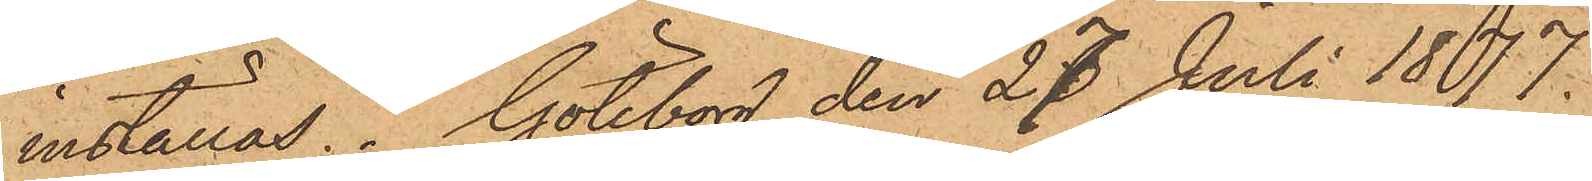inställas. Göteborg den 27 Juli 1887.
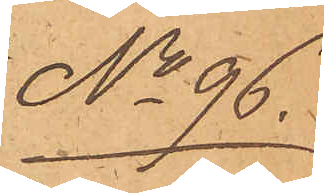No 96.
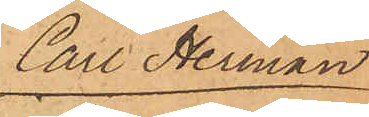Carl Herman
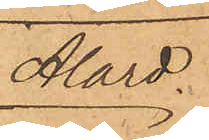Alard
